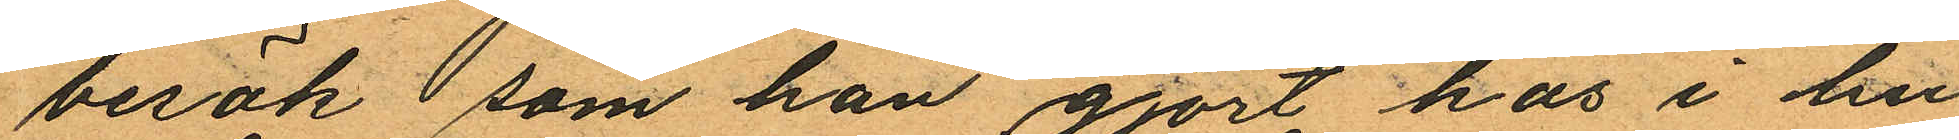besök, som han gjort hos i hu¬
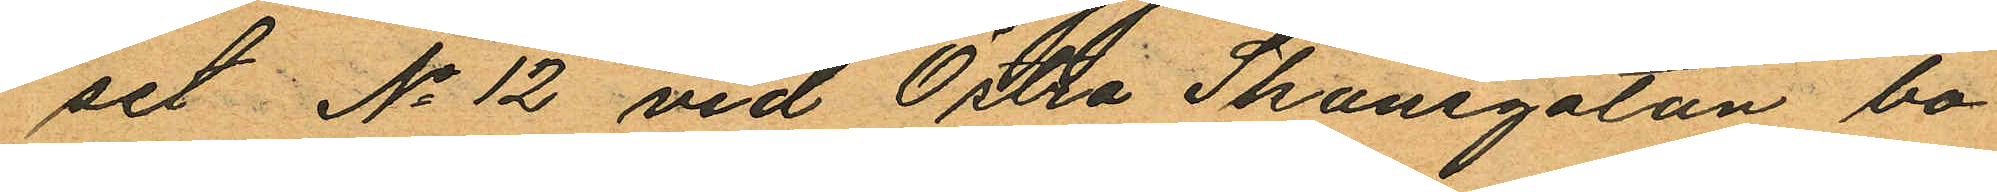set No 12 vid Östra Skansgatan bo¬
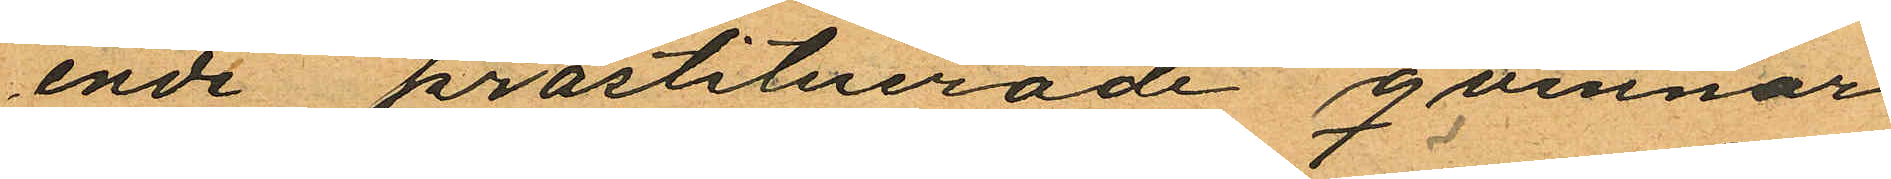ende prostituerade qvinnor
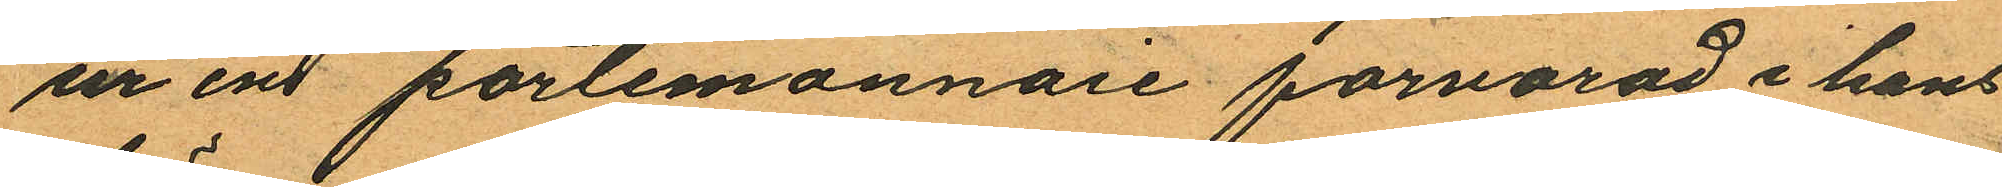ur en portemonnaie förvarad i hans
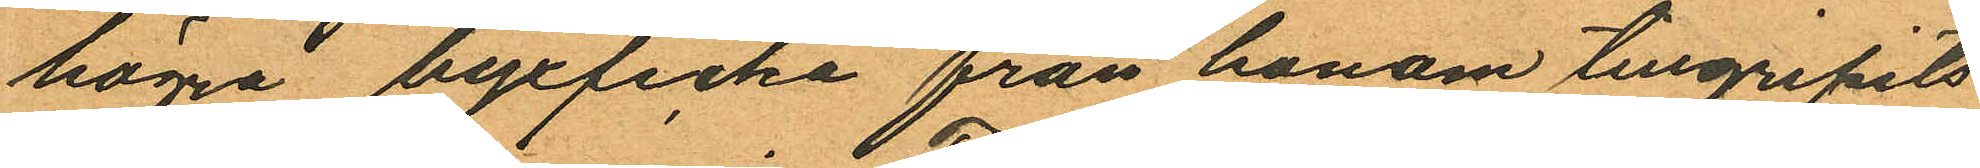högra byxficka från honom tillgripits
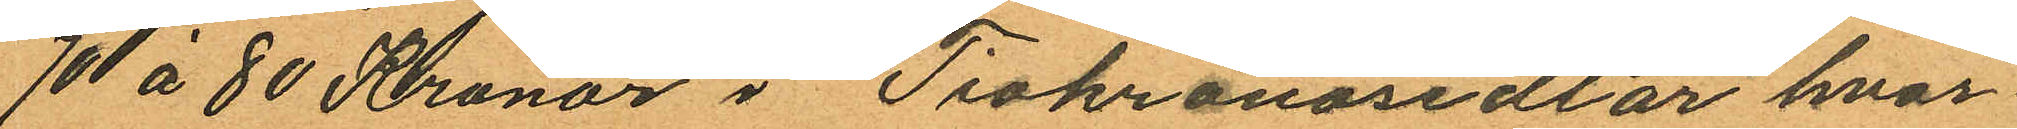70 á 80 Kronor i Tiokronosedlar hvar
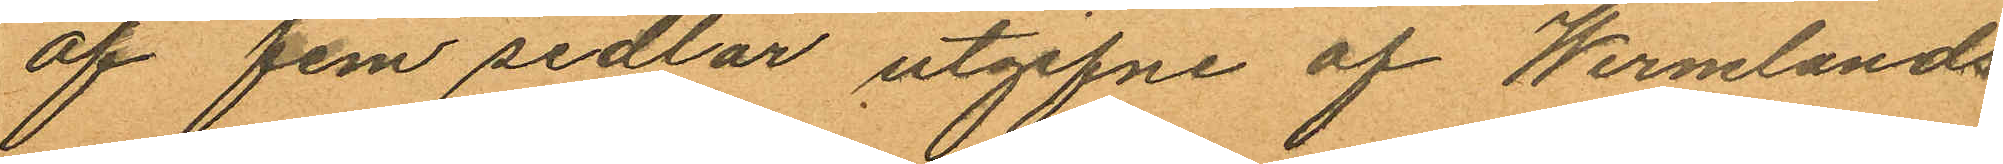af fem sedlar utgifne af Wermlands
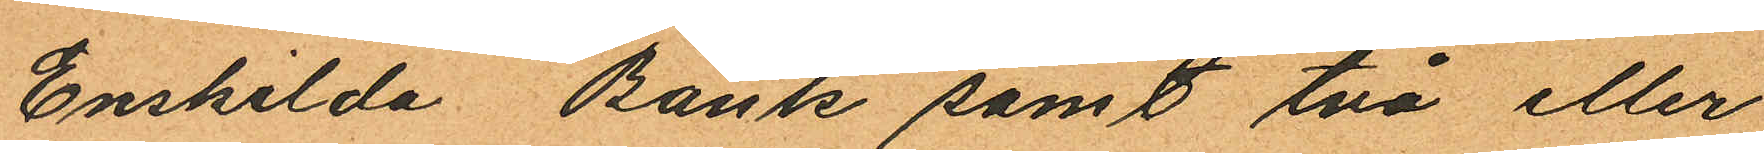Enskilda Bank samt två eller
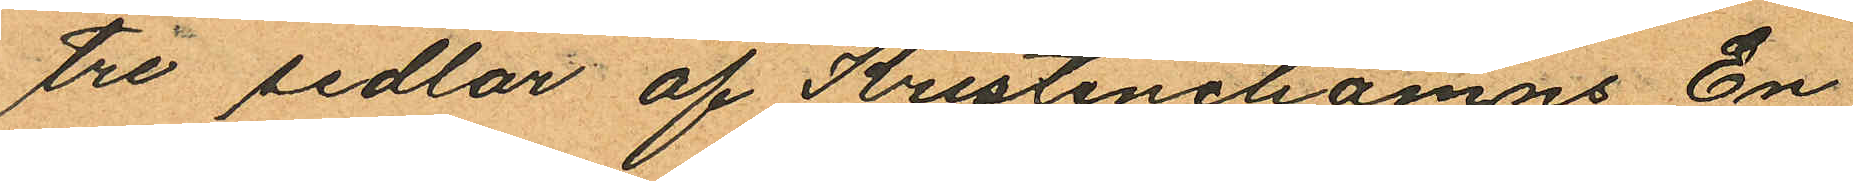tre sedlar af Kristinehamns En
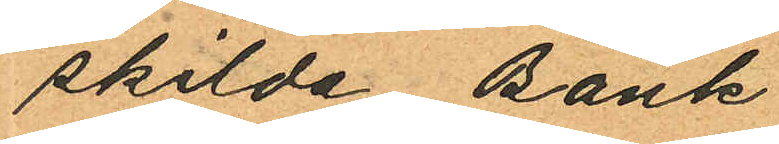skilda Bank
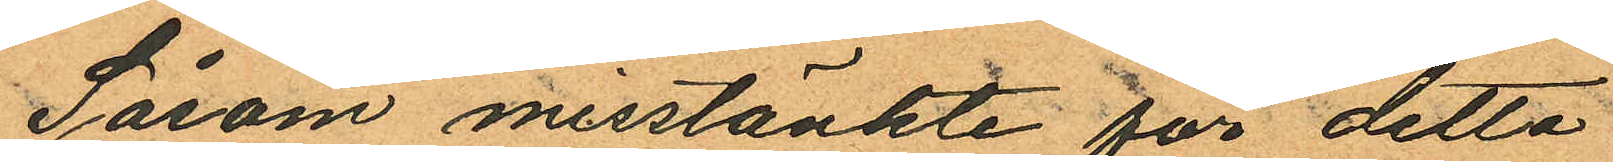Såsom misstänkte för detta
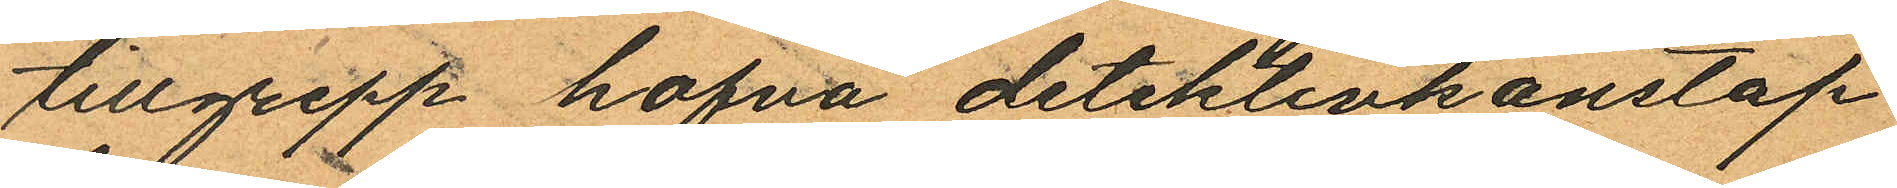tillgrepp hafva detektivkonstap
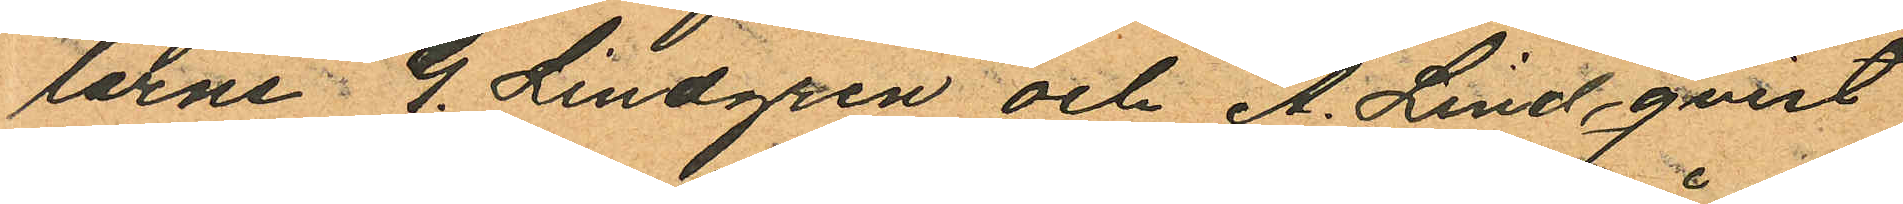larne G. Lindgren och A. Lindqvist
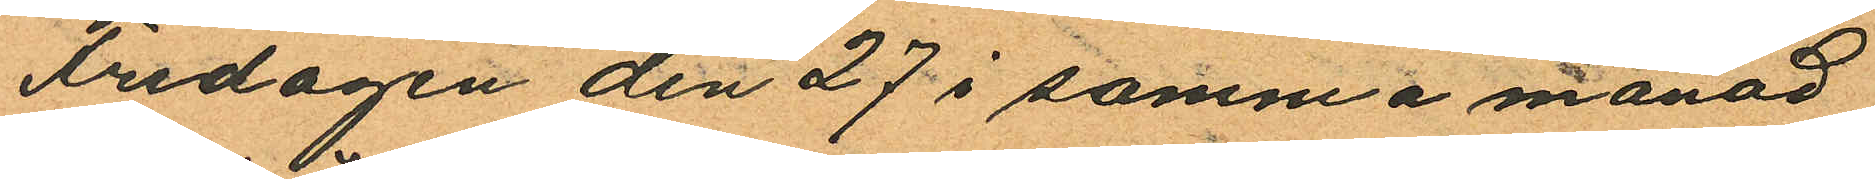Fredagen den 27 i samma månad
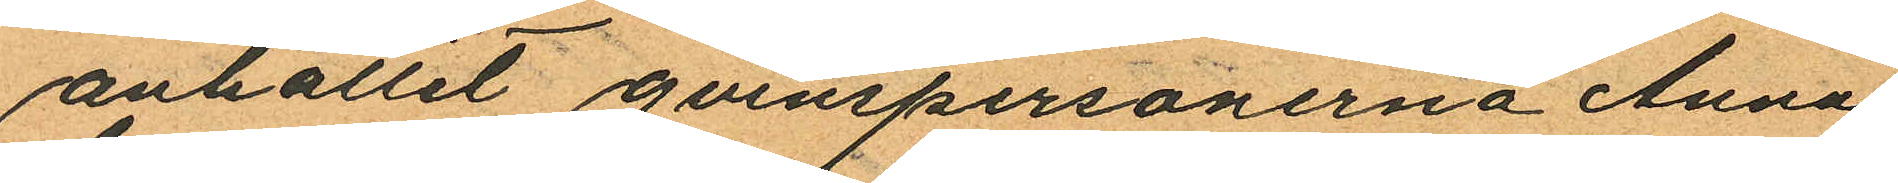anhållit qvinspersonerna Anna
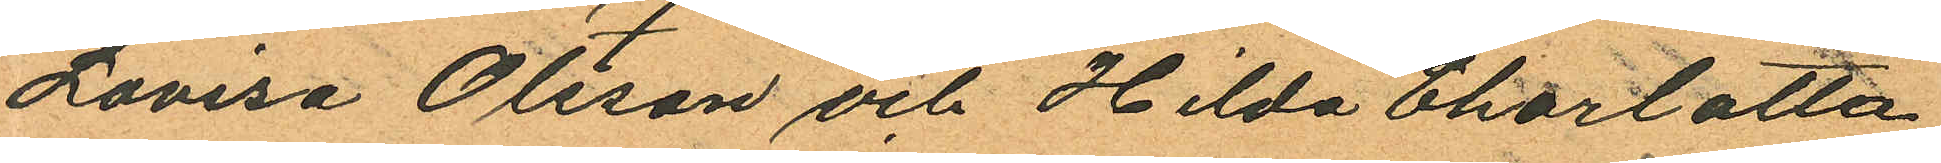Lovisa Olsson och Hilda Charlotta
